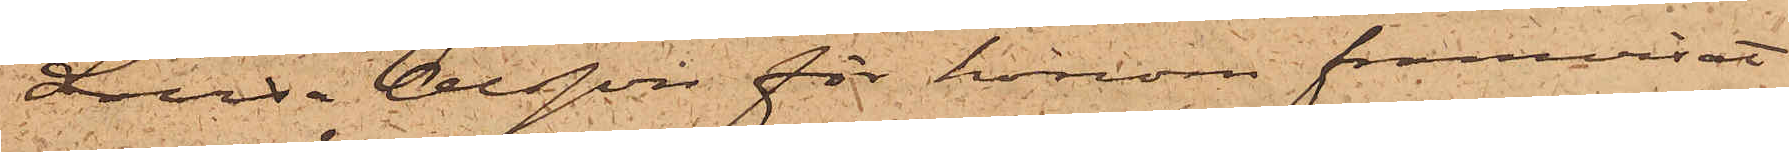Lovisa Olsson för honom framvisat
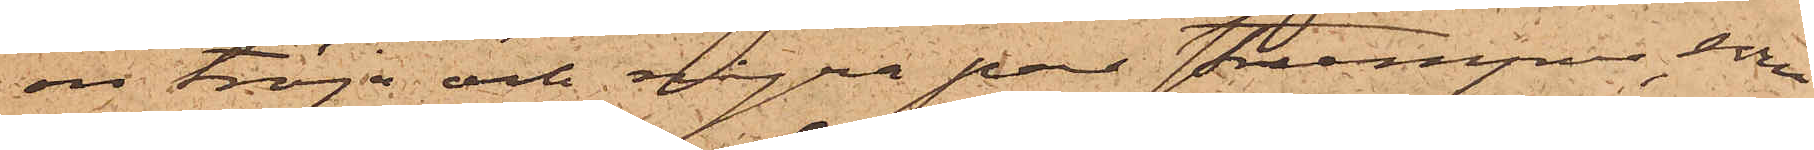en tröja och några par strumpor, som
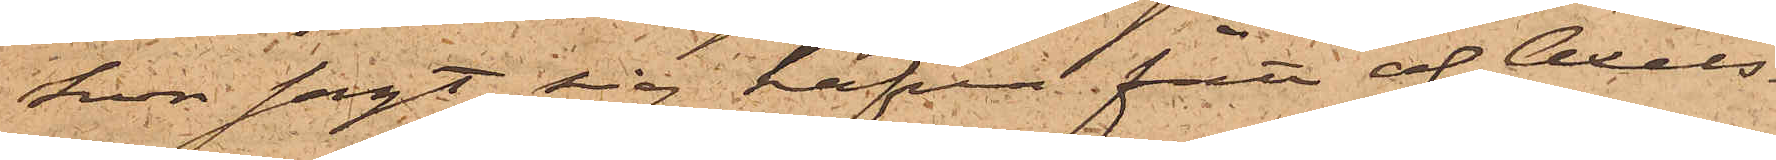hon sagt sig hafva fått af Axels¬
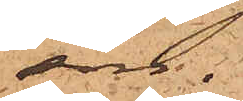son.
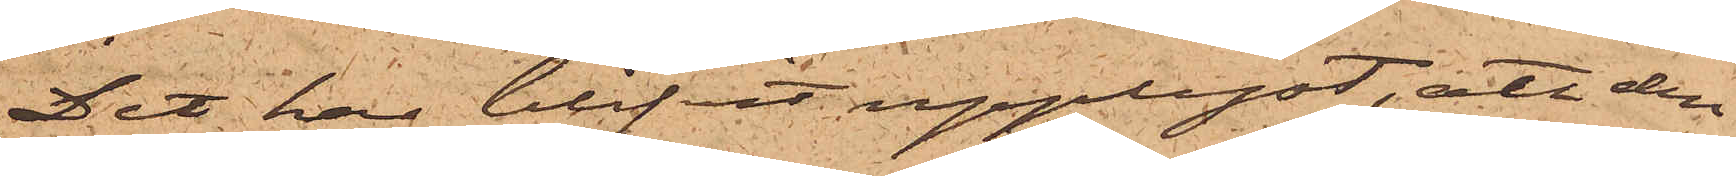Det har blifvit upplyst, att den
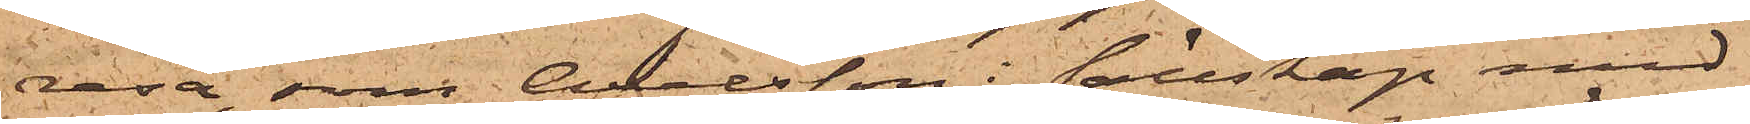resa, som Axelsson i sällskap med
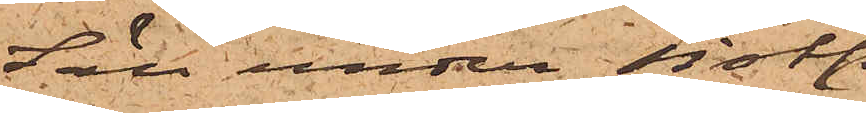Säll under sistl.
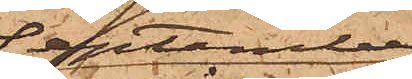September
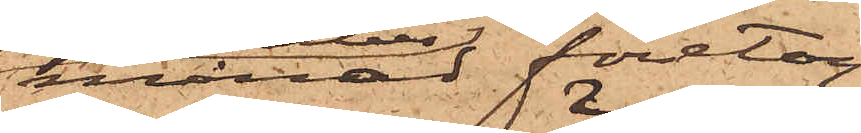månad företog
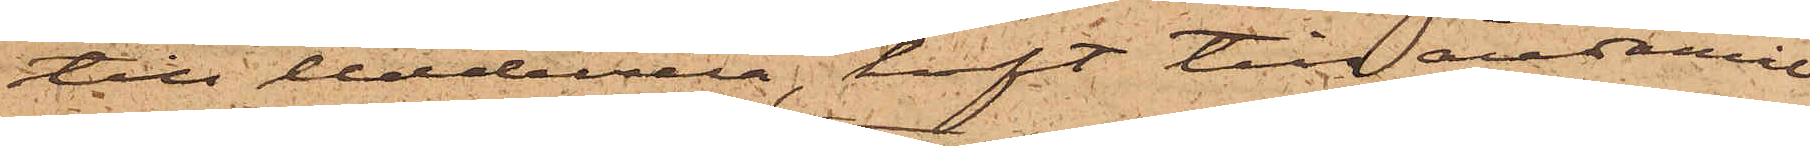till Uddevalla, haft till ändamål
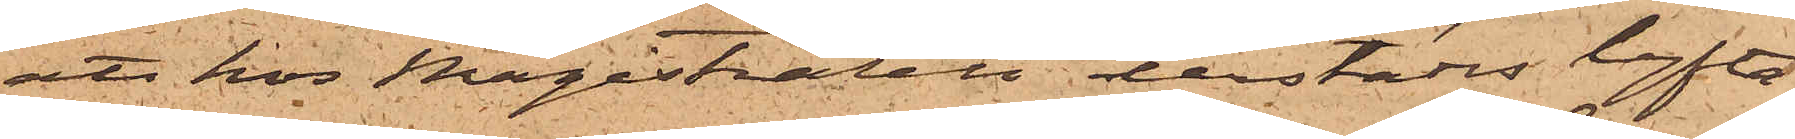att hos Magistraten derstädes lyfta
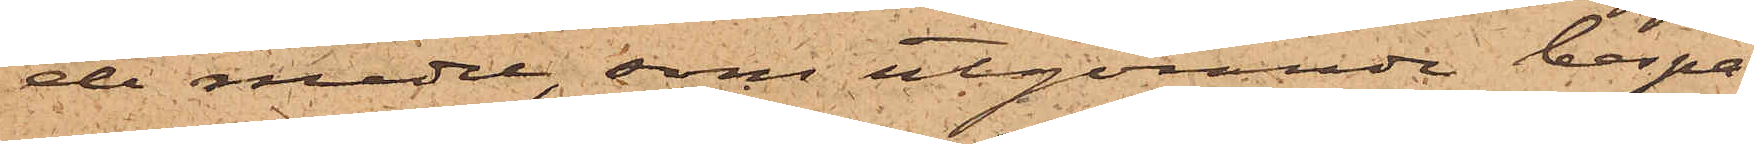de medel, som utgörande bespa¬
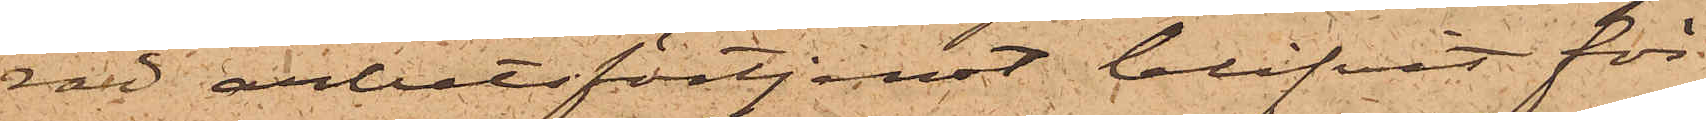rad arbetsförtjenst blifvit för
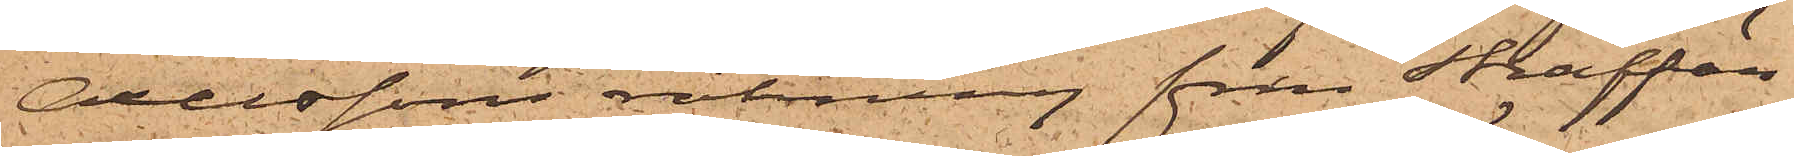Axelssons räkning från Straffän¬
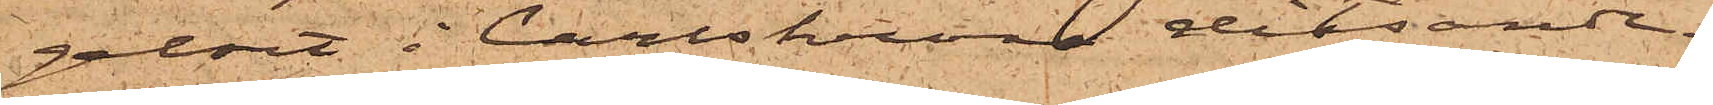gelset i Carlskrona ditsände.
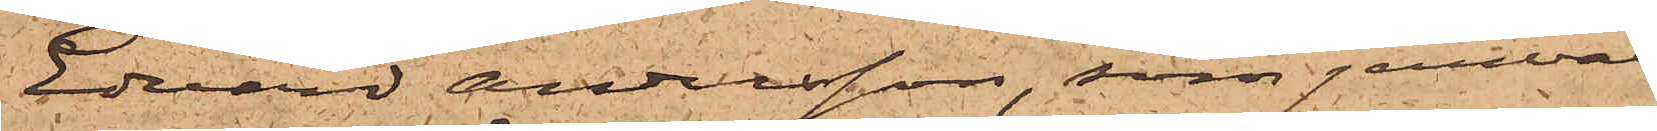Edvard Andersson, som jemväl
